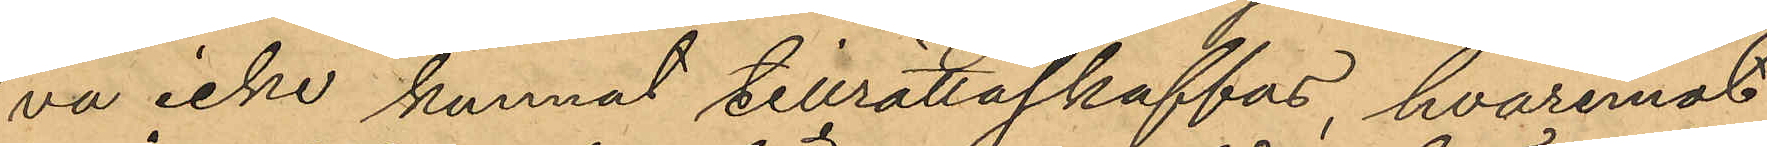va icke kunnat tillrättaskaffas, hvaremot
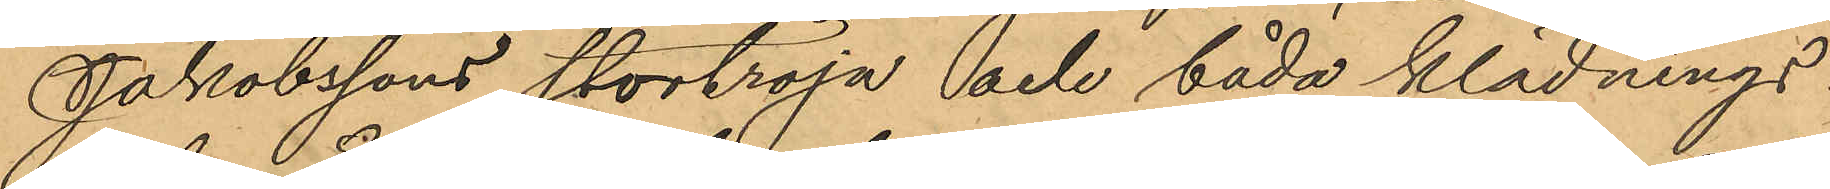Jakobssons stortröja och båda klädnings¬
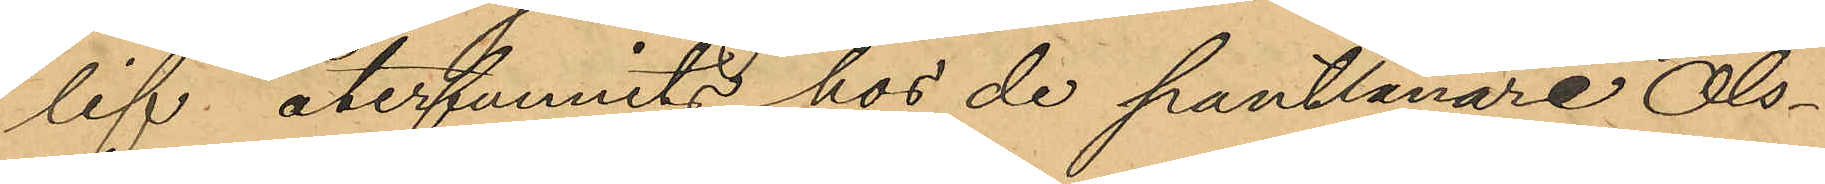lif återfunnits hos de pantlånare Ols¬
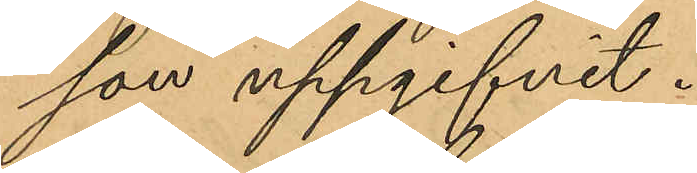son uppgifvit.
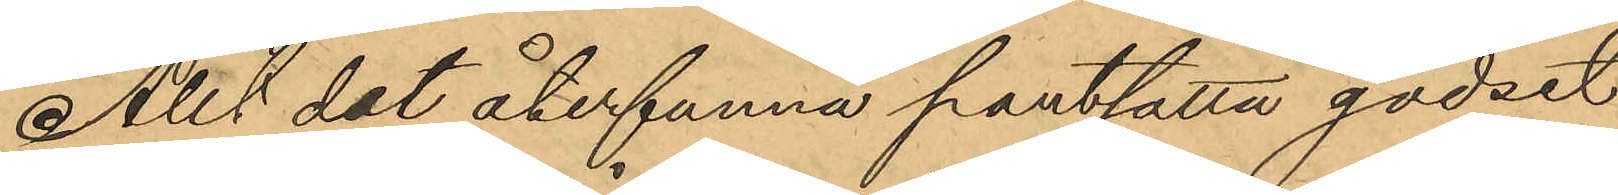Allt det återfunna pantsatta godset
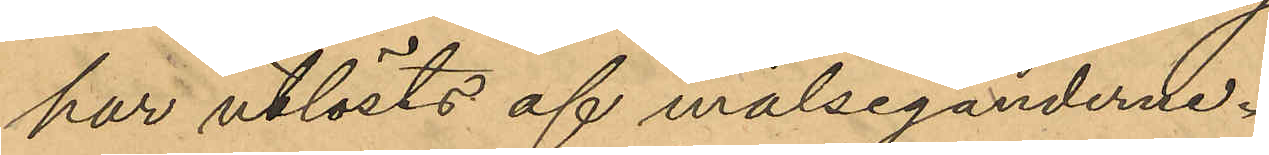har utlösts af målseganderne.
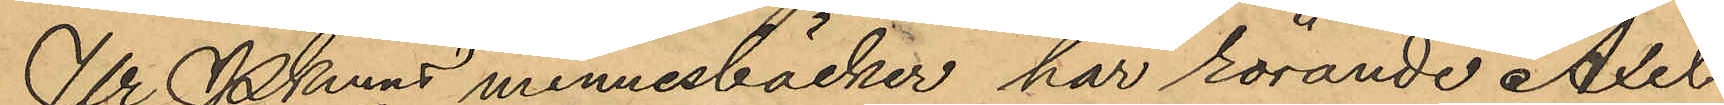Ur Pkmns minnesböcker har rörande Axel
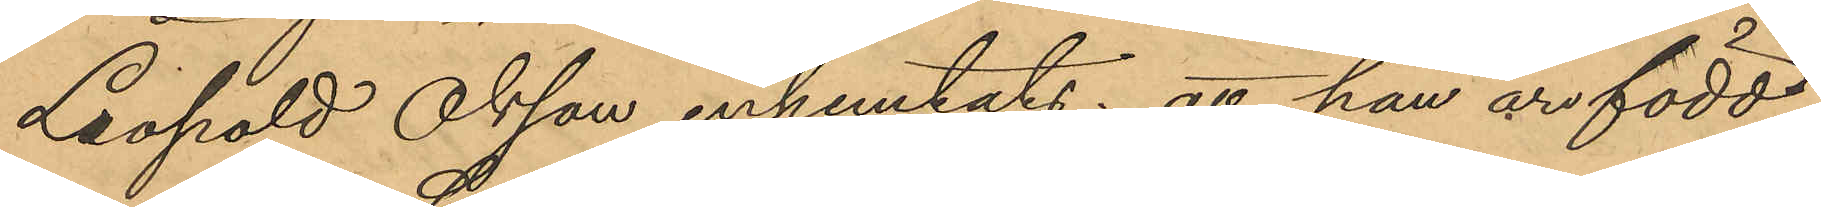Leopold Olsson inhemtats: att han är född
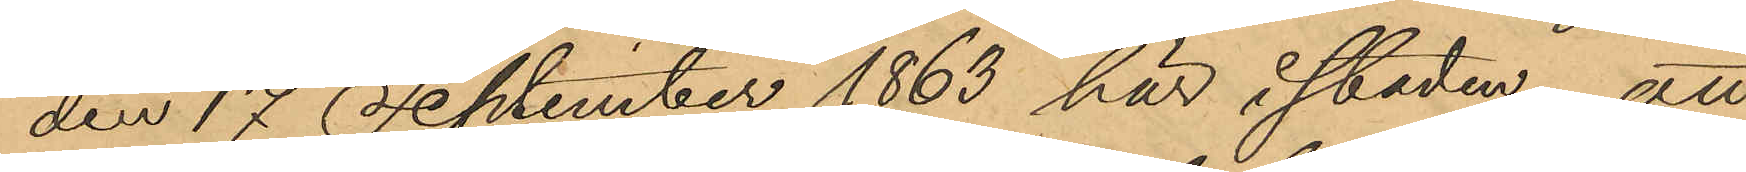den 17 September 1863 här i staden; att
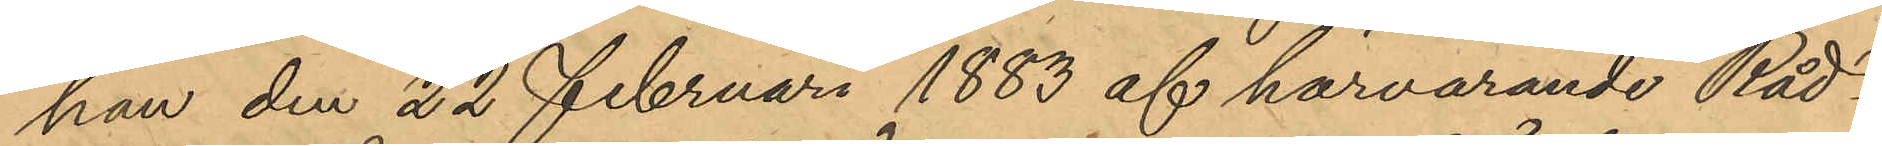han den 22 Februari 1883 af härvarande Råd¬
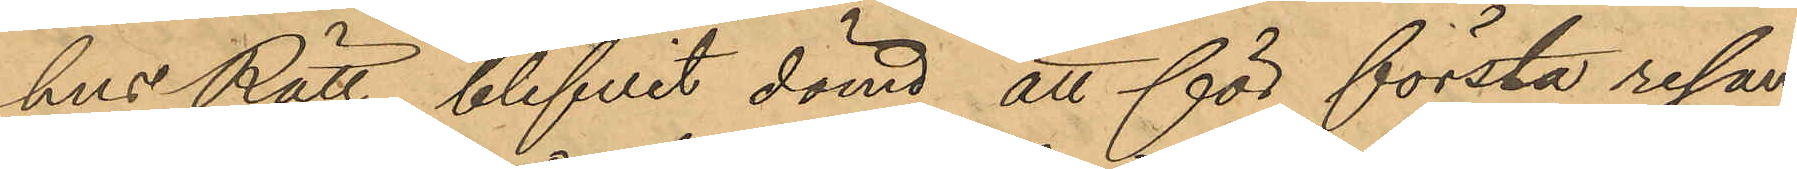hus Rätt blifvit dömd att för första resan
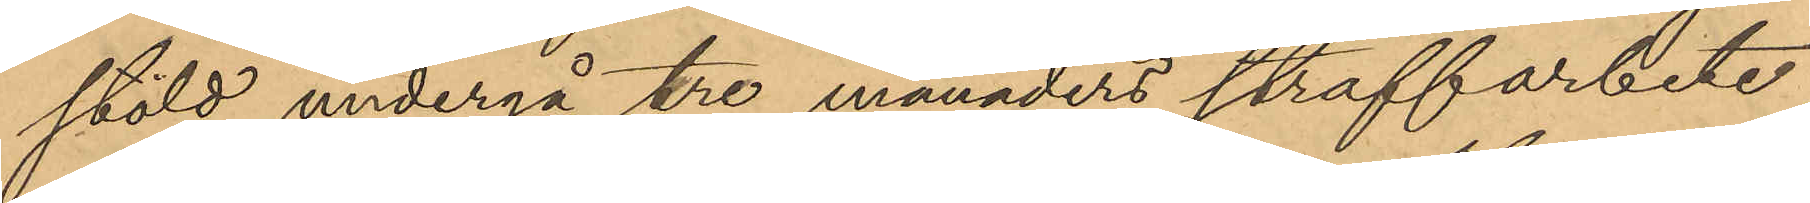stöld undergå tre månaders straffarbete;
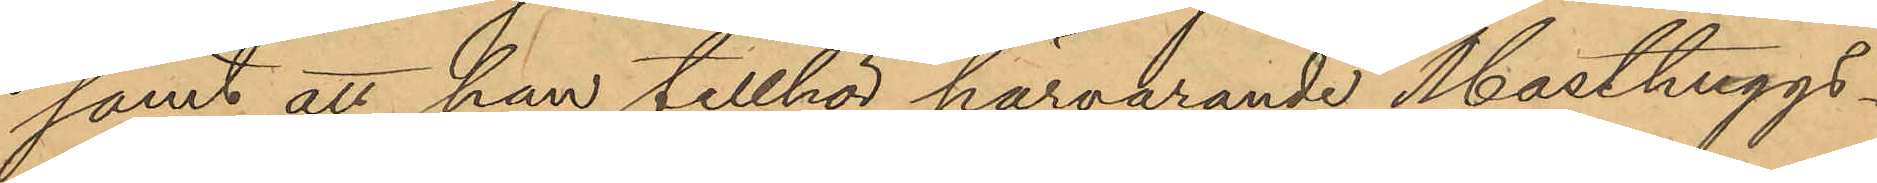samt att han tillhör härvarande Masthuggs¬
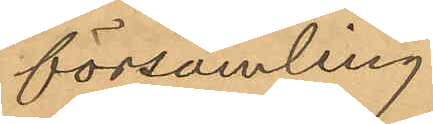församling.
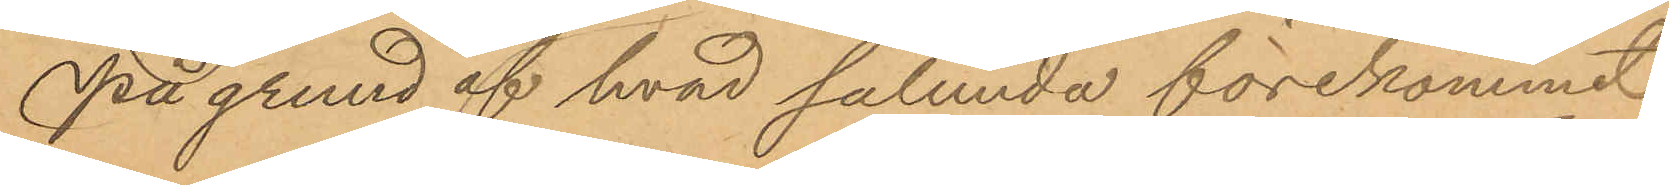På grund af hvad sålunda förekommit,
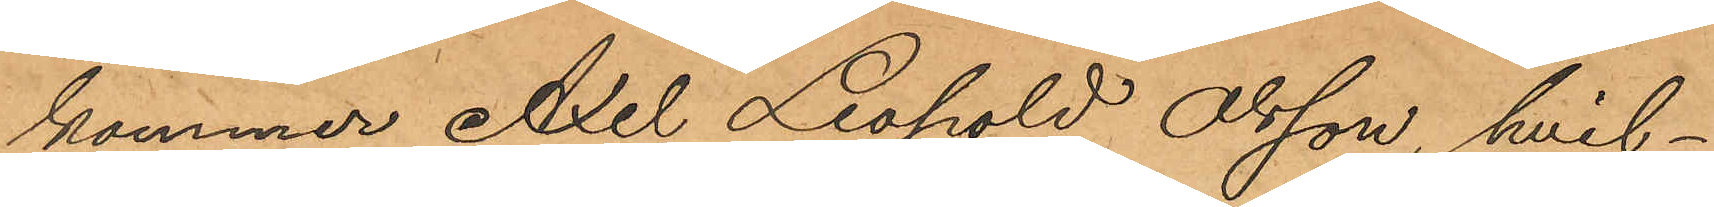kommer Axel Leopold Olsson, hvil¬
